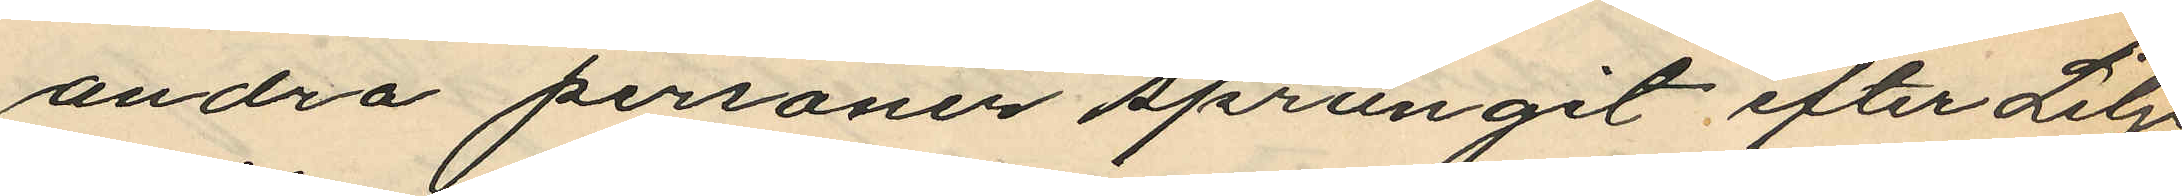andra personer sprungit efter Lilje¬
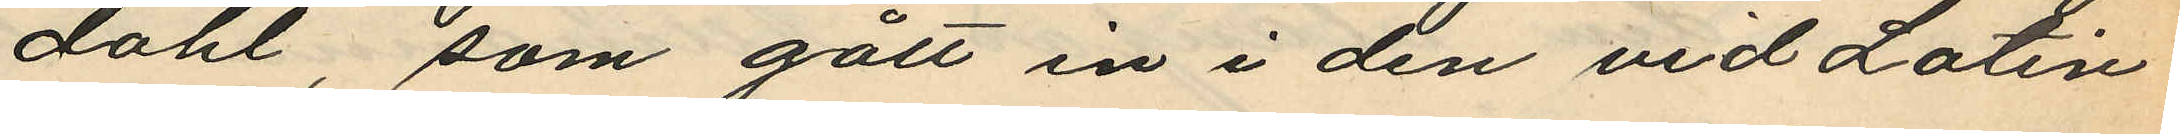dahl, som gått in i den vid Latin¬
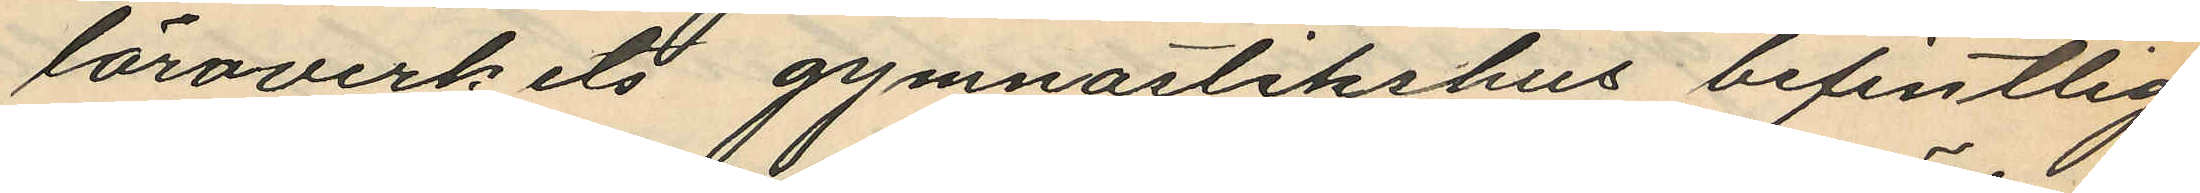läroverkets gynnastikshus befintliga
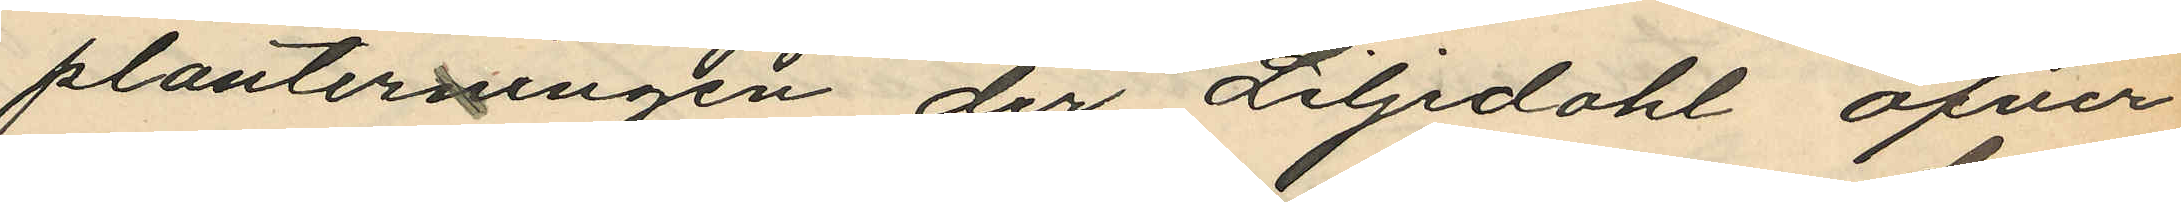planteringen der Liljdahl öfver¬
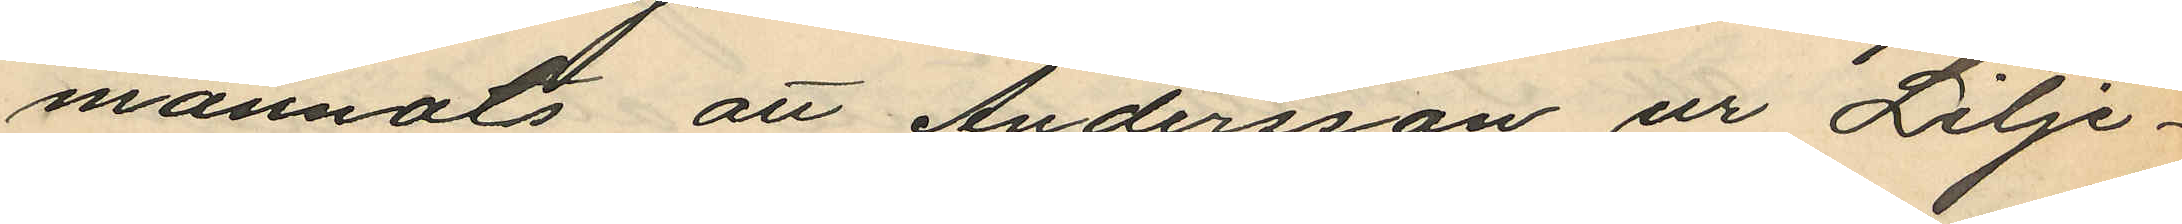mannats att Andersson ur Lilje¬
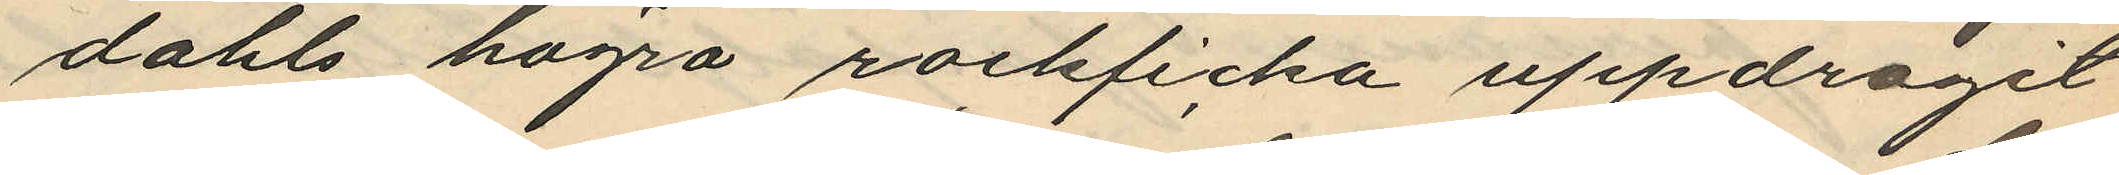dahls högra rockficka uppdragit
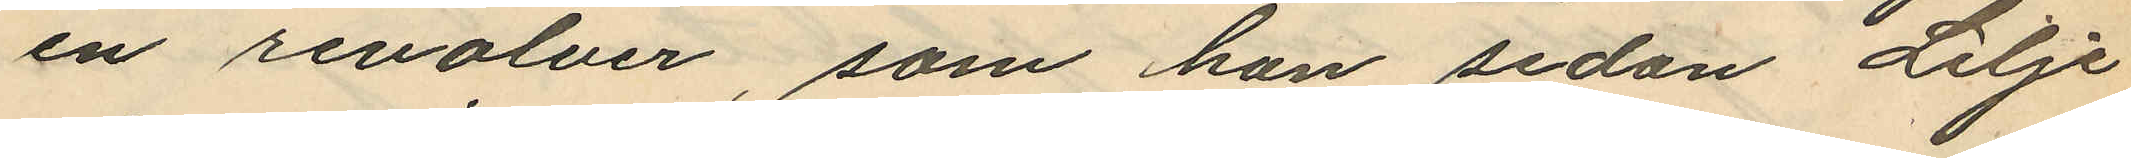en revolver, som han sedan Lilje¬
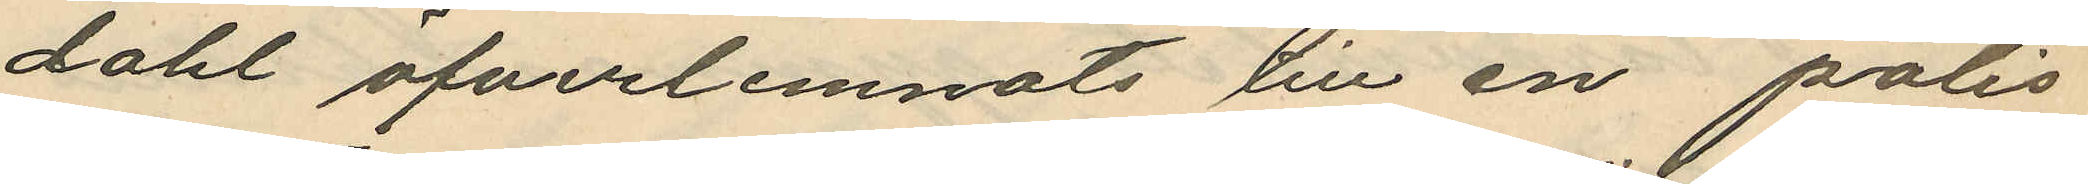dahl öfverlemnats till en polis¬
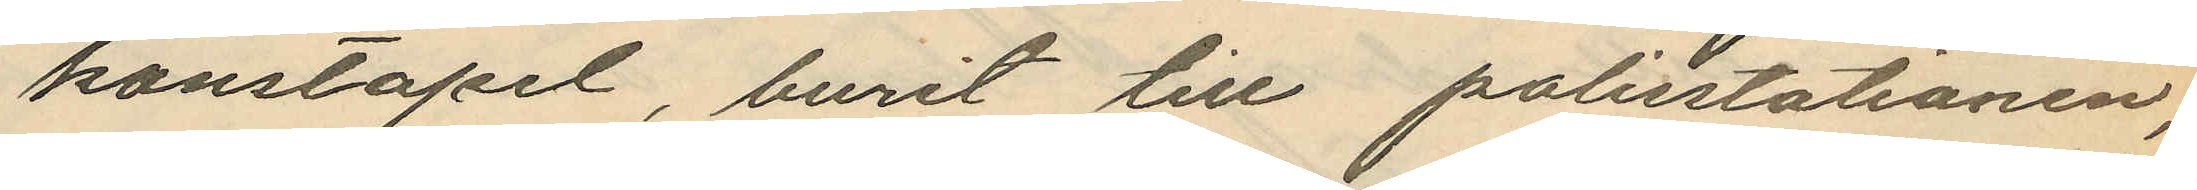konstapel, burit till polisstationen
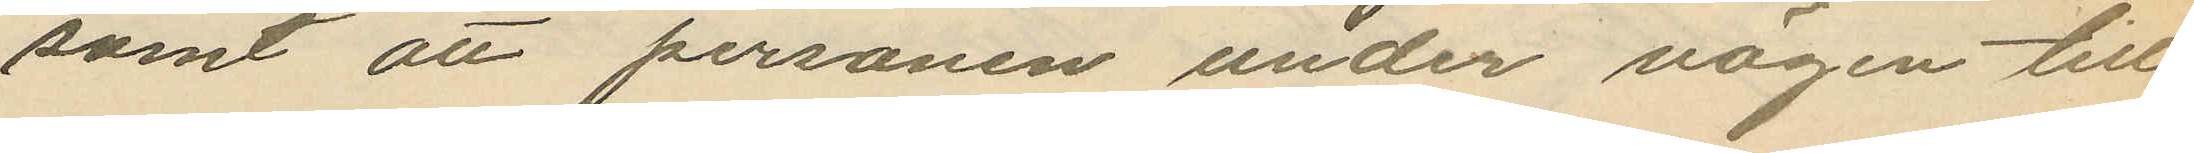samt att personen under vägen till
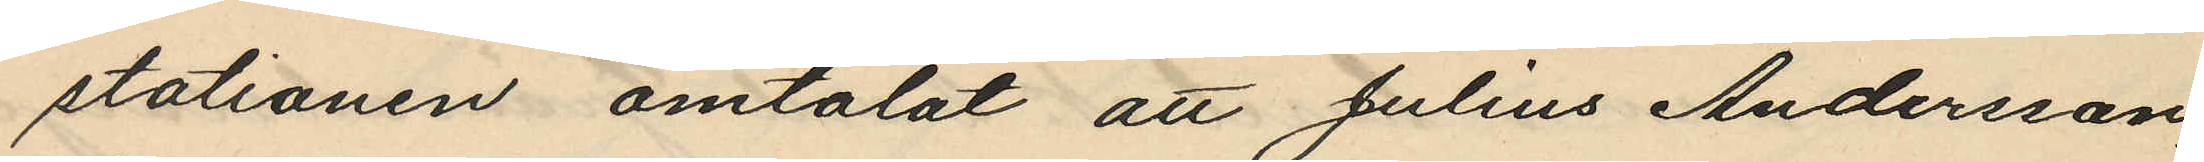stationen omtalat att Julius Andersson,
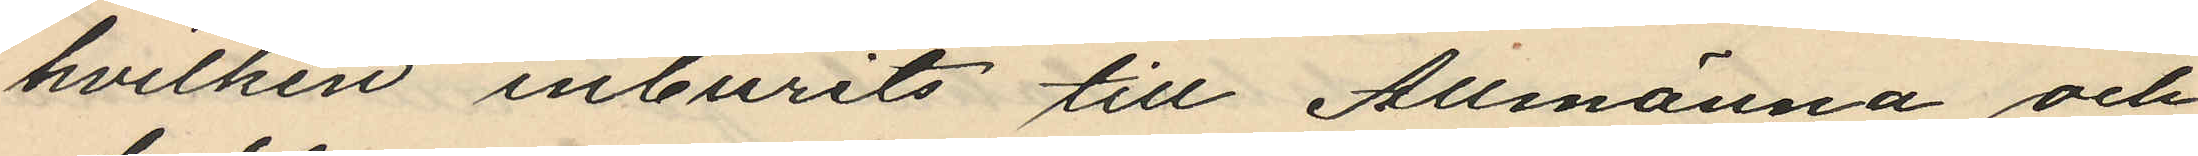hvilken inburits till Allmänna och
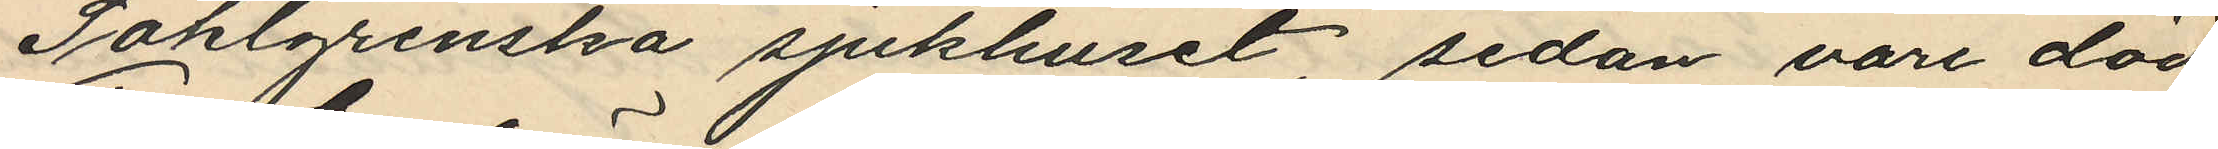Sahlgrenska sjukhuset, sedan vore död
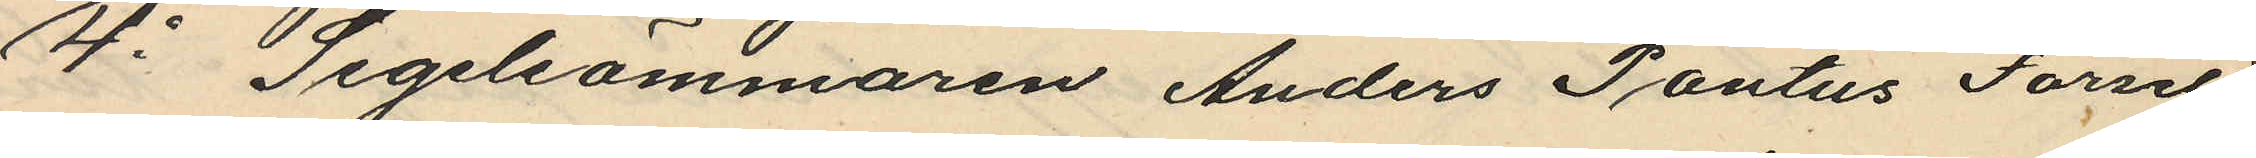4o Segelsömmaren Anders Pontus Forsell
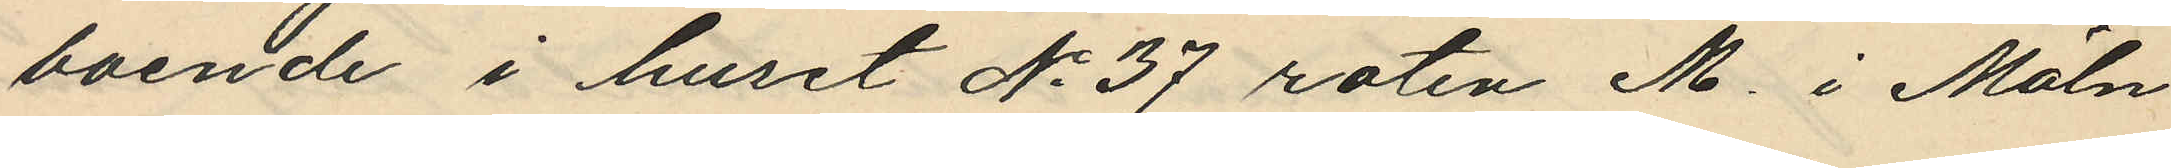boende i huset No 37 roten M. i Möln¬
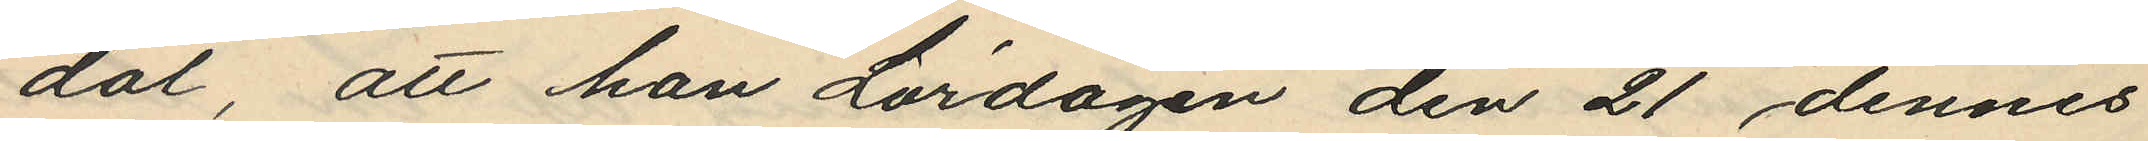dal, att han Lördagen den 21 dennes
